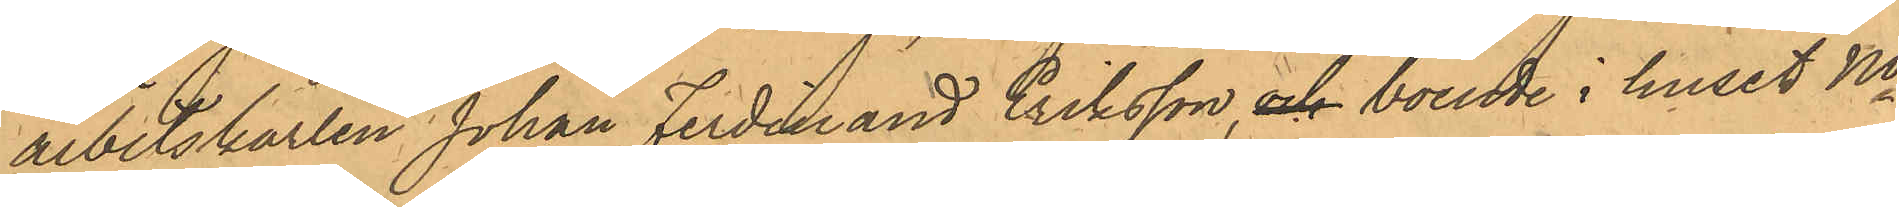arbetskarlen Johan Ferdinand Eriksson, och boende i huset No
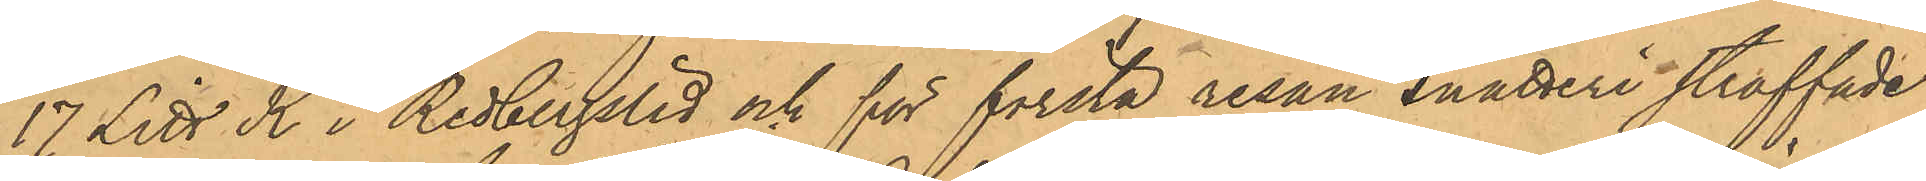17 Litt K i Redbergslid och för första resan snatteri straffade
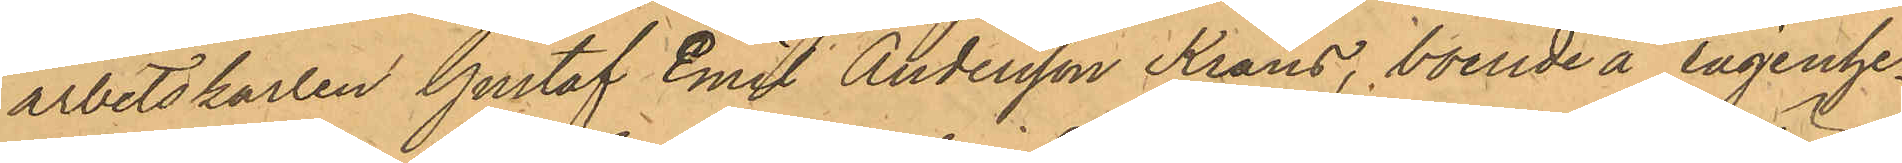arbetskarlen Gustaf Emil Andersson Krans, boende å lägenhe¬
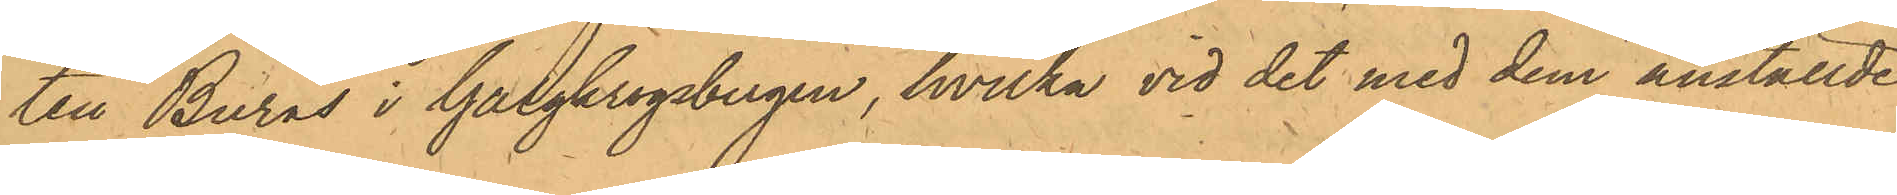ten Burås i Galgkrogsbergen, hvilka vid det med dem anställde
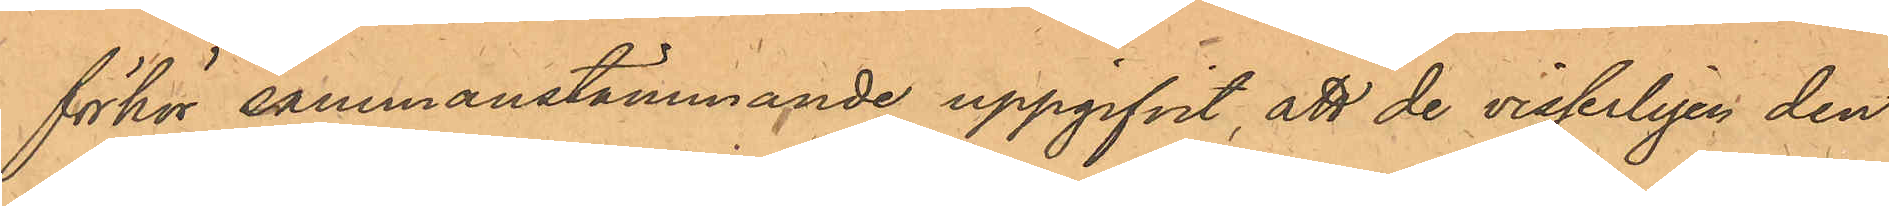förhör sammanstämmande uppgifvit, att de visserligen den
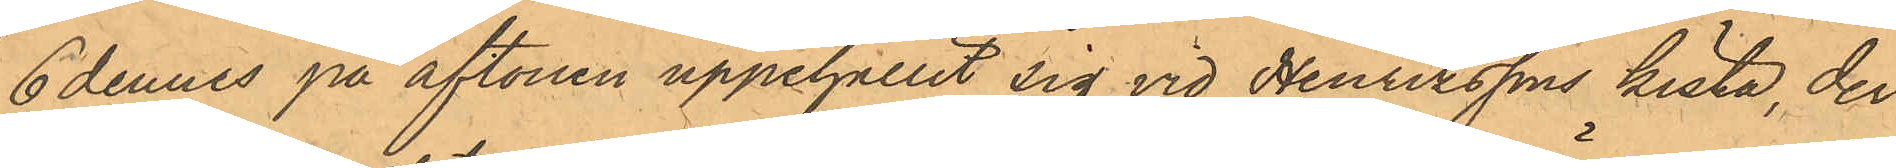6 dennes på aftonen uppehållit sig vid Henrikssons kista, der
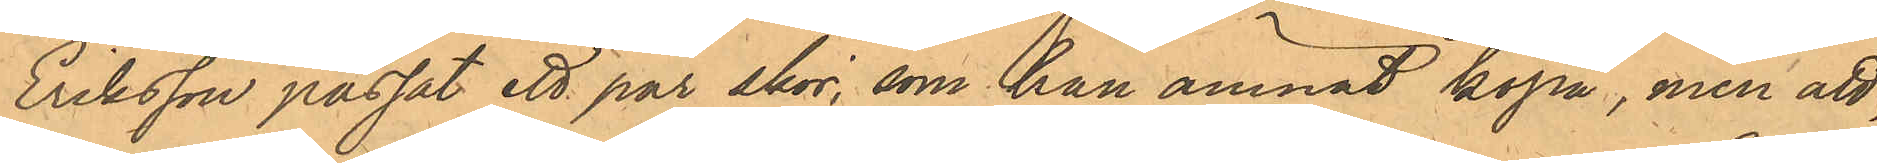Eriksson passat ett par skor, som han ämnat köpa, men att,
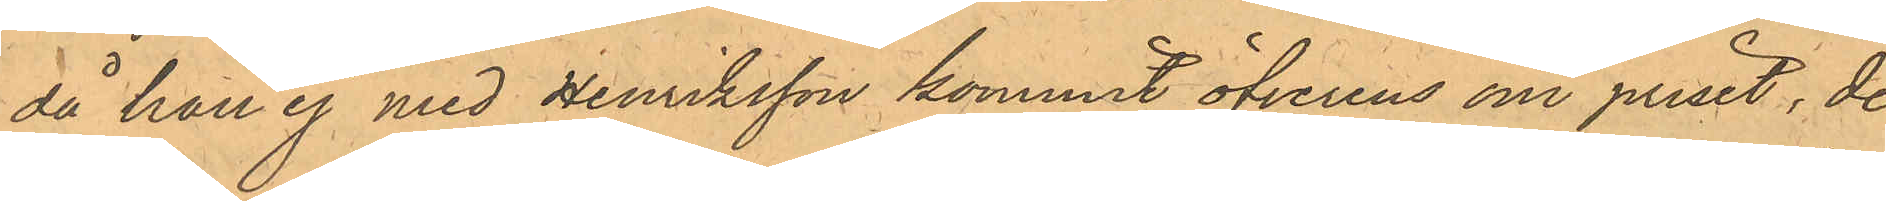då han ej med Henriksson kommit öfverens om priset, de
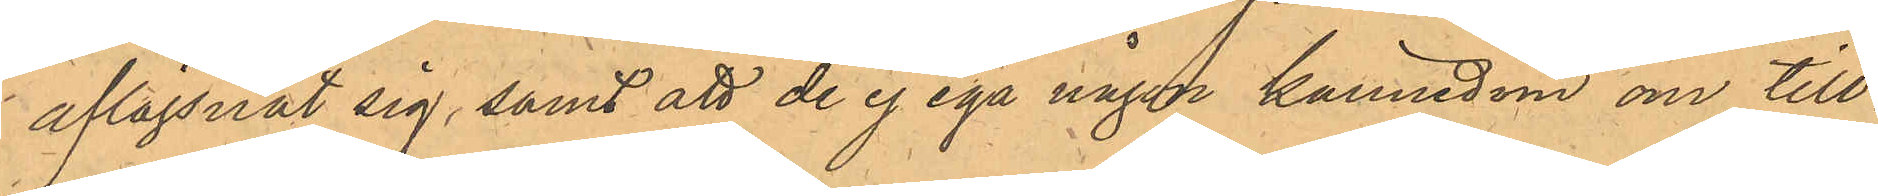aflägsnat sig, samt att de ej ega någon kännedom om till¬
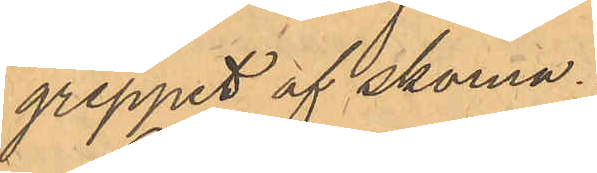greppet af skorna.
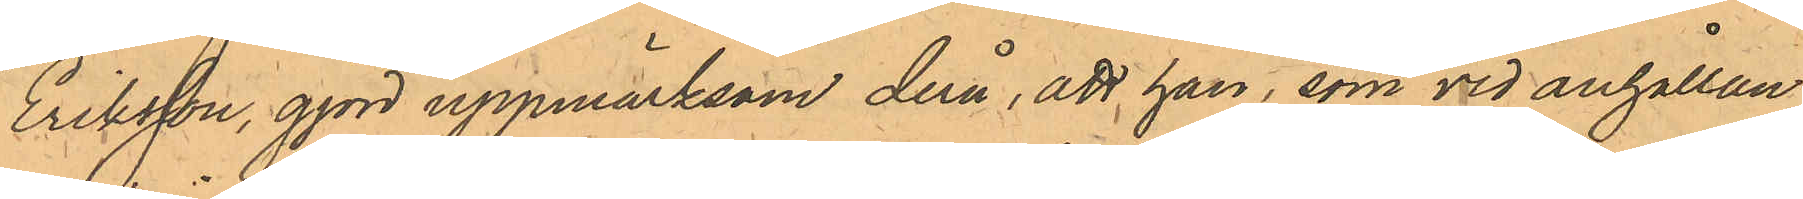Eriksson, gjord uppmärksam derå, att han, som vid anhållan¬
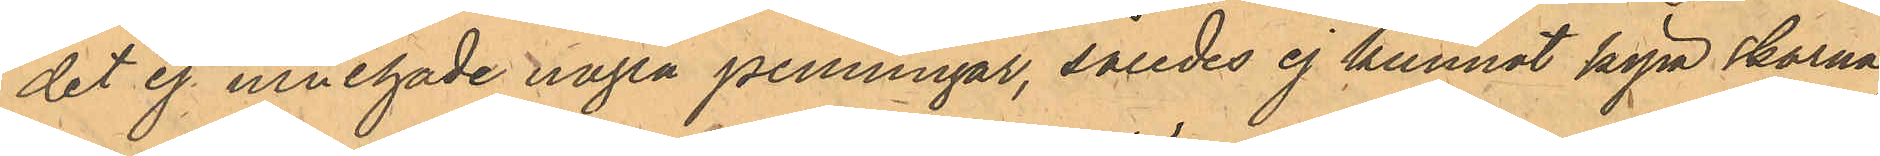det ej innehade några penningar, således ej kunnat köpa skorna,
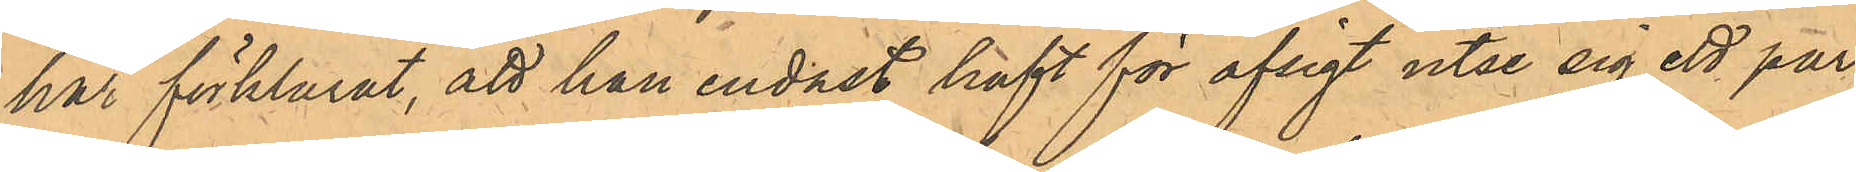har förklarat, att han endast haft för afsigt utse sig ett par
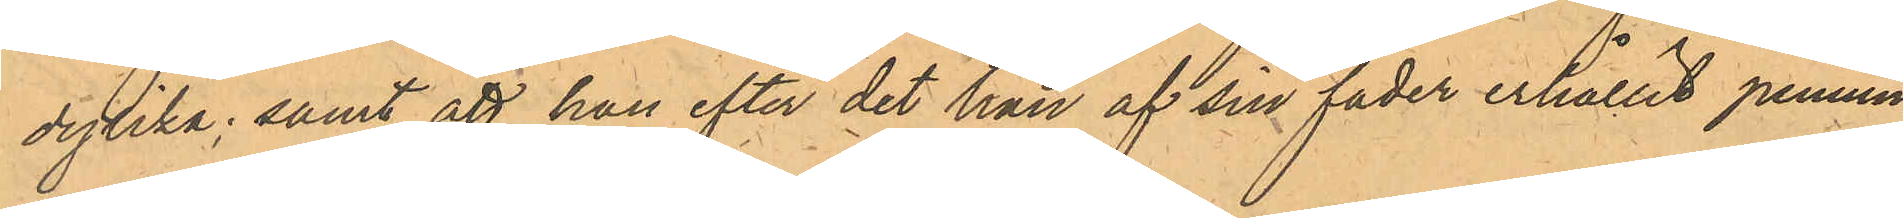dylika; samt att han efter det han af sin fader erhållit pennin¬
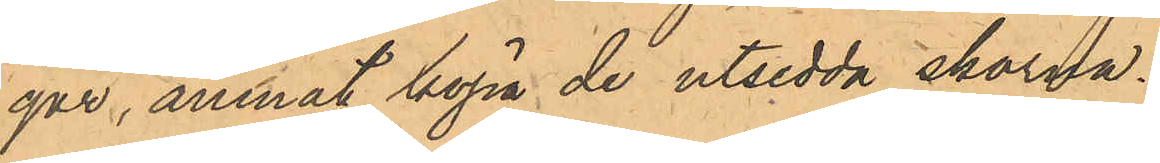gar, ämnat köpa de utsedda skorna.
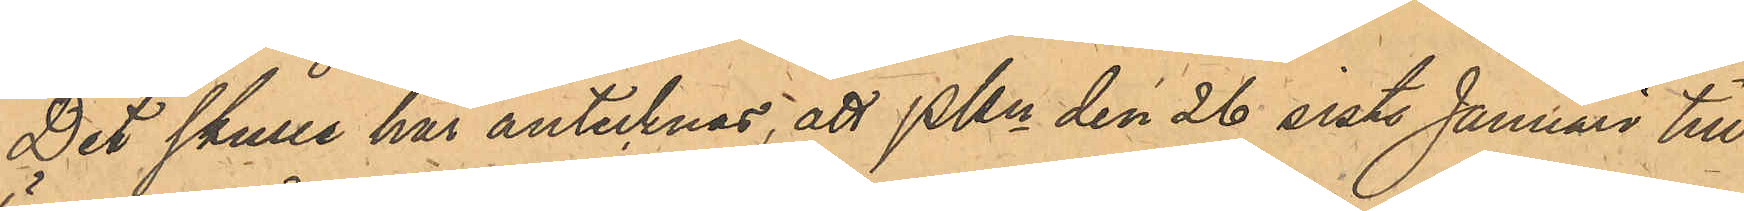Det skulle här antecknas, att PKn den 26 sist. Januari till
